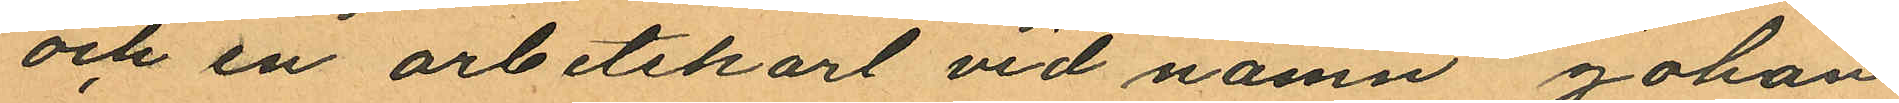och en arbetskarl vid namn Johan
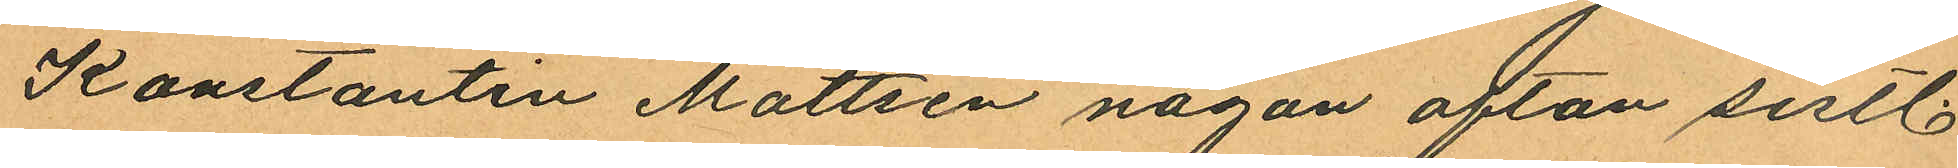Konstantin Mattsen någon afton sistl.
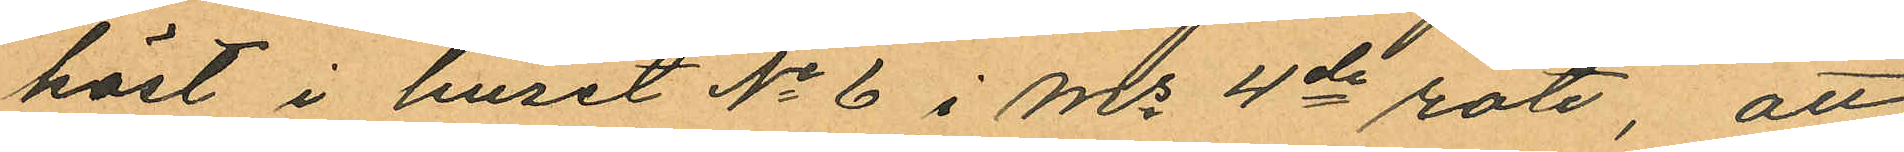höst i huset No 6 i Ms 4de rote, att
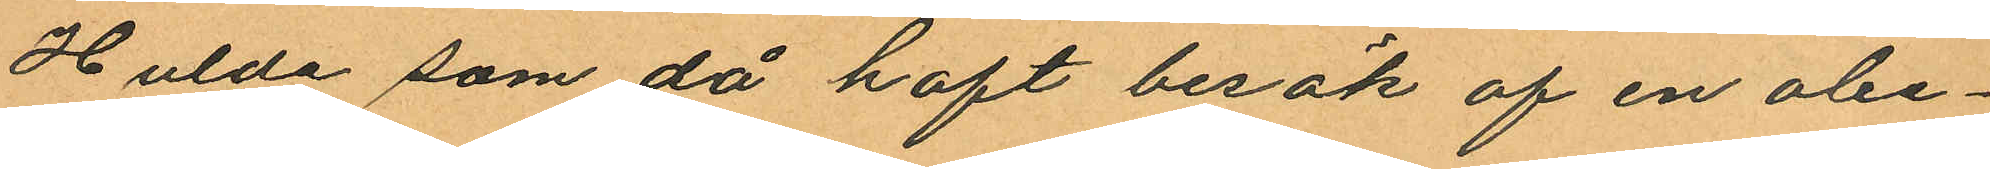Hulda som då haft besök af en obe¬
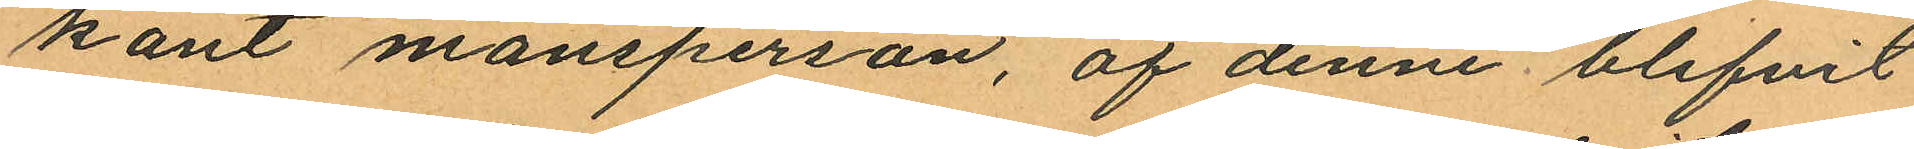kant mansperson, af denne blifvit
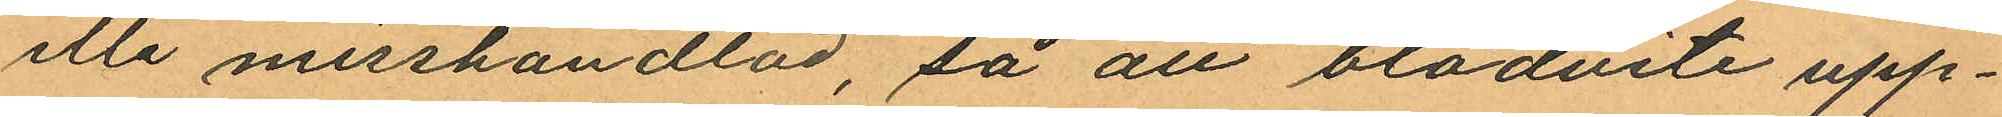illa misshandlad, så att blodvite upp¬
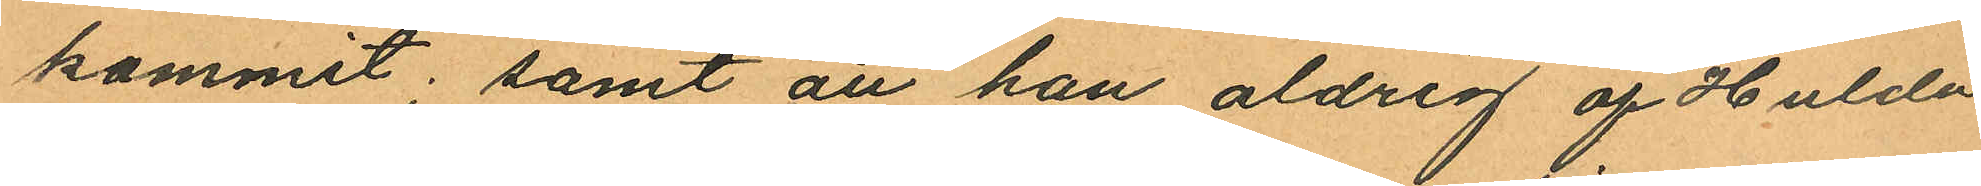kommit; samt att han aldrig af Hulda
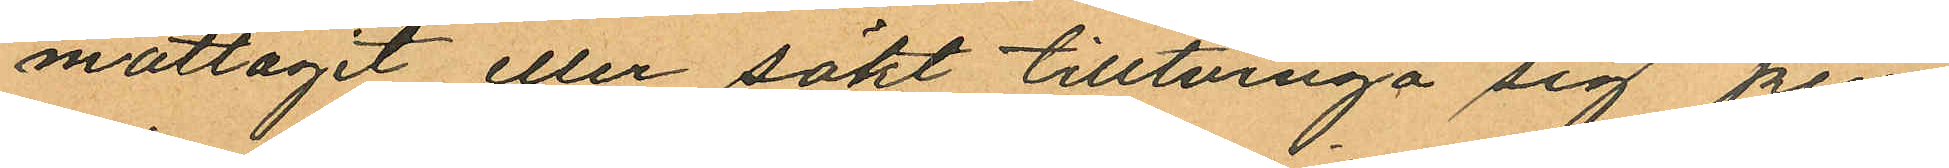mottagit eller sökt tilltvinga sig pen¬
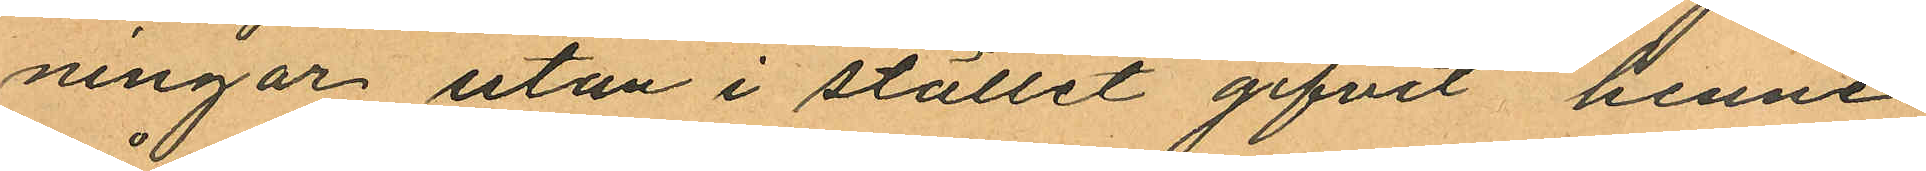ningar utan i stället gifvit henne
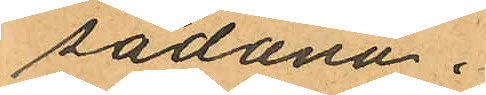sådana.
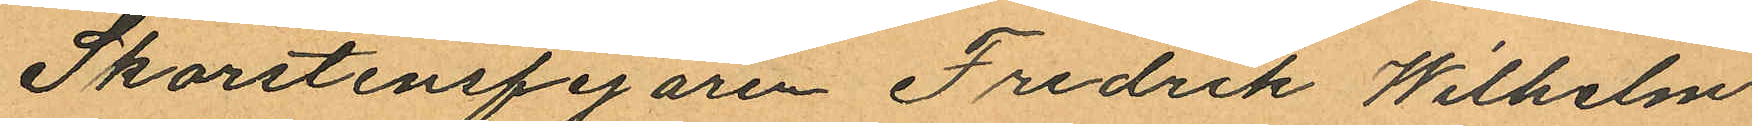Skorstensfejaren Fredrik Wilhelm
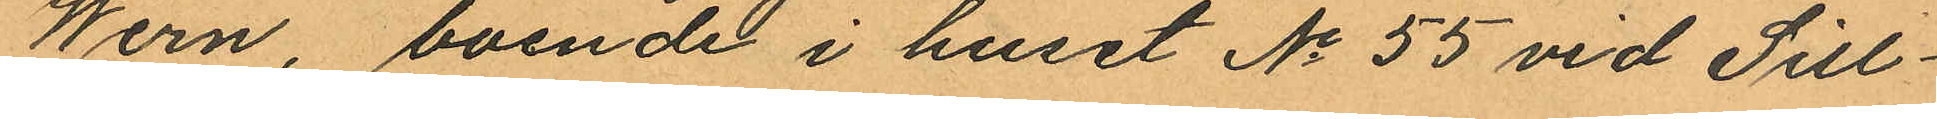Wern, boende i huset No 55 vid Sill¬
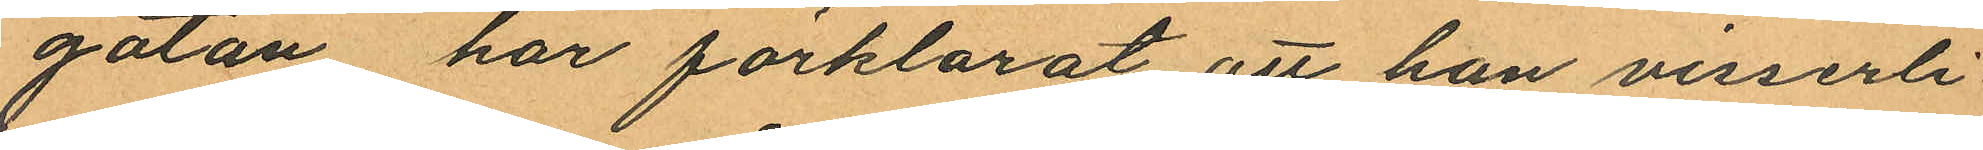gatan har förklarat att han visserli¬
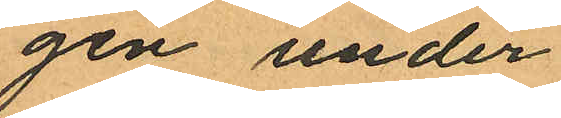gen under
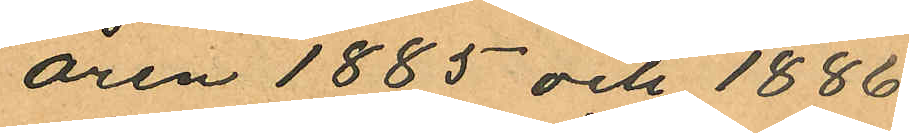åren 1885 och 1886
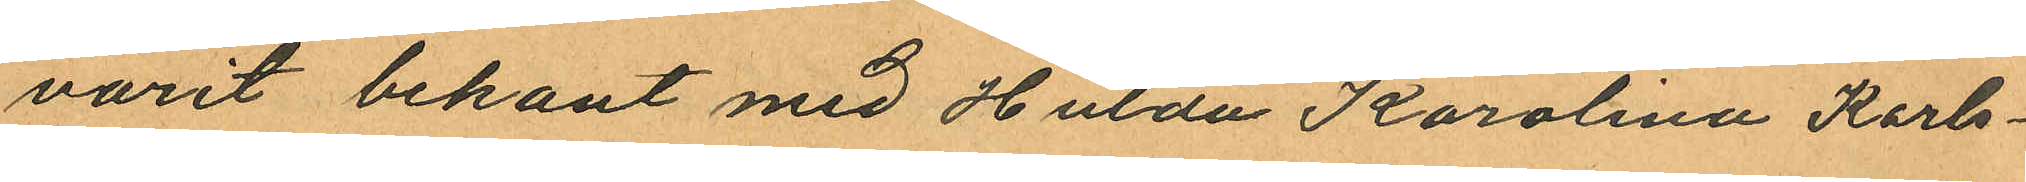varit bekant med Hulda Karolina Karls¬
